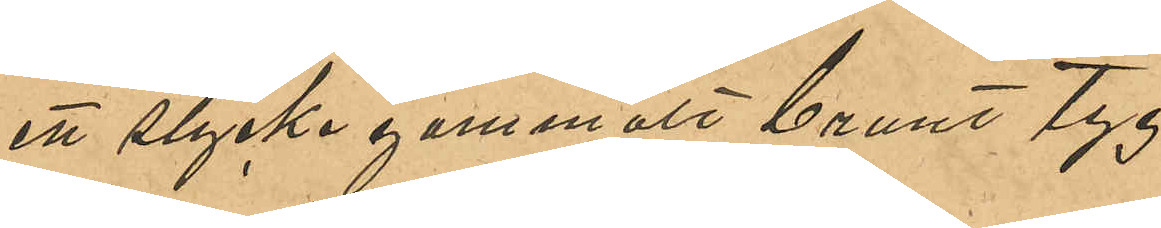ett stycke gammalt brunt tyg
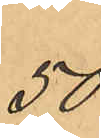50
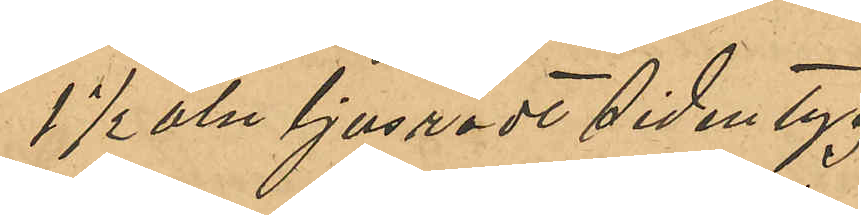1 ½ aln ljusrödt sidentyg
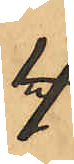4
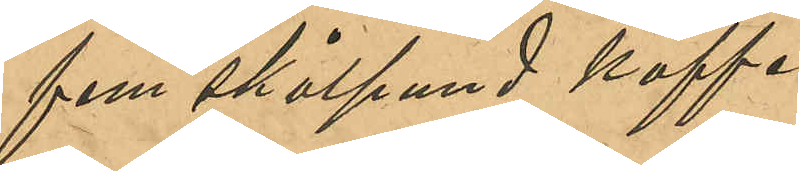fem skålpund kaffe
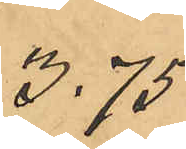3,75
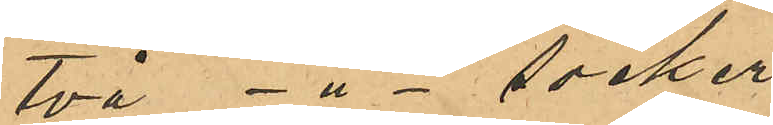två -"- socker
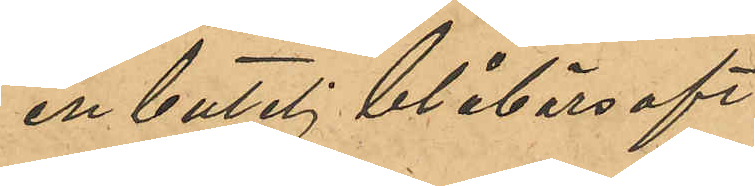en butelj blåbärssaft
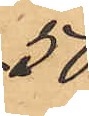50
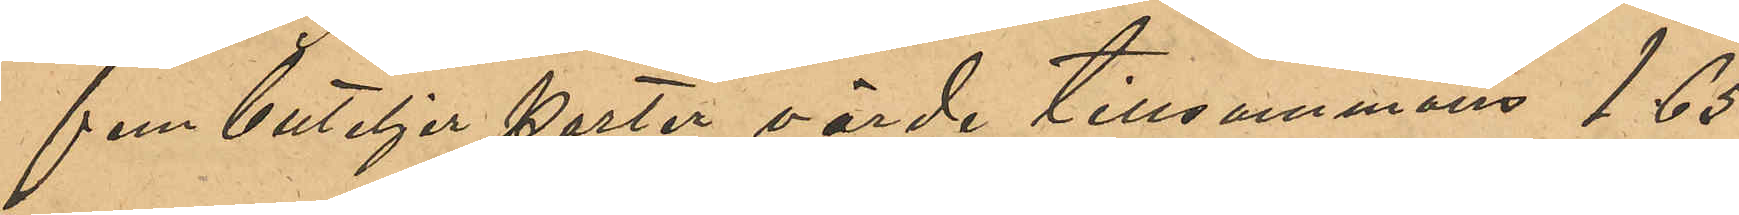fem buteljer porter, värde tillsammans 1,65
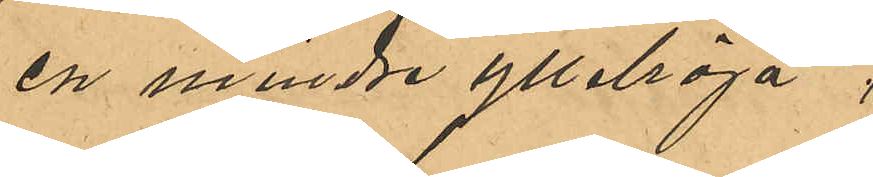en mindre ylletröja
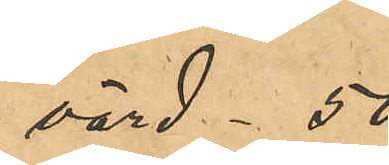värd - 50
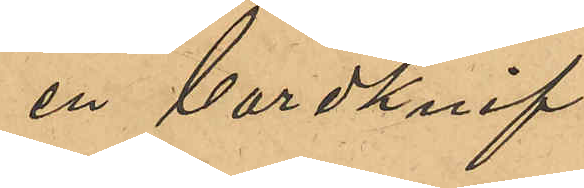en bordsknif
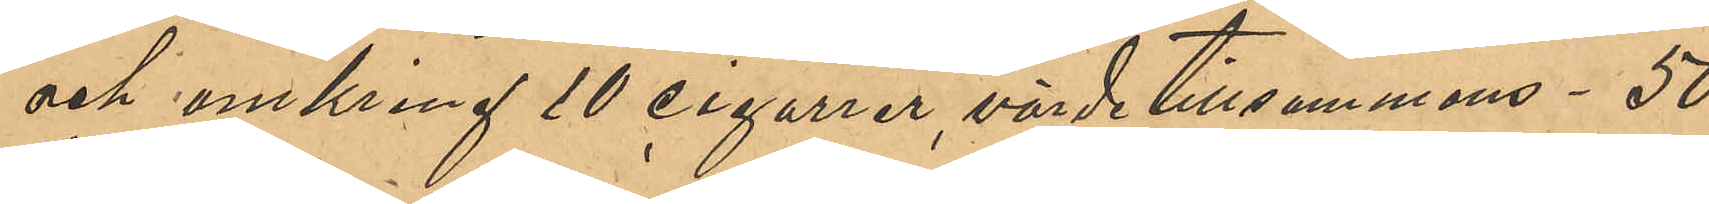och omkring 10 cigarrer, värde tillsammans - 50
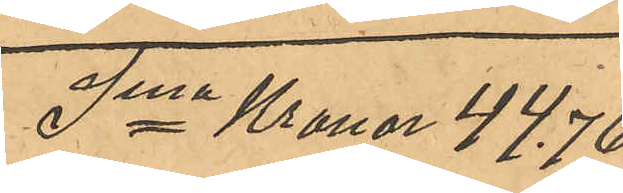Sma Kronor 44,76
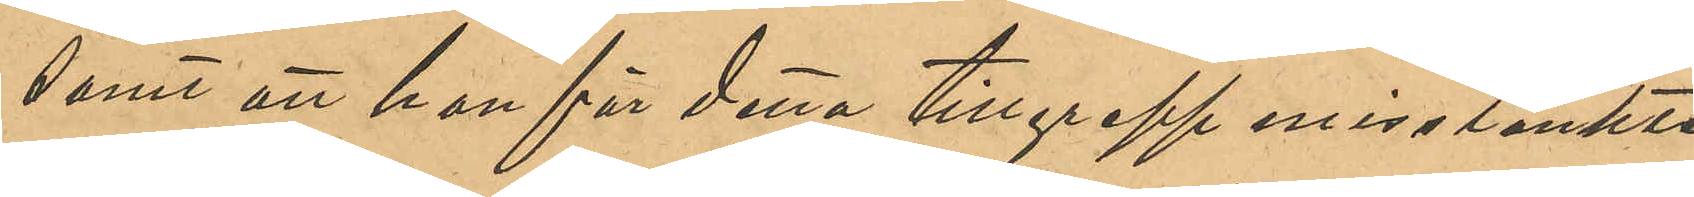samt att hon för detta tillgrepp misstänkte
